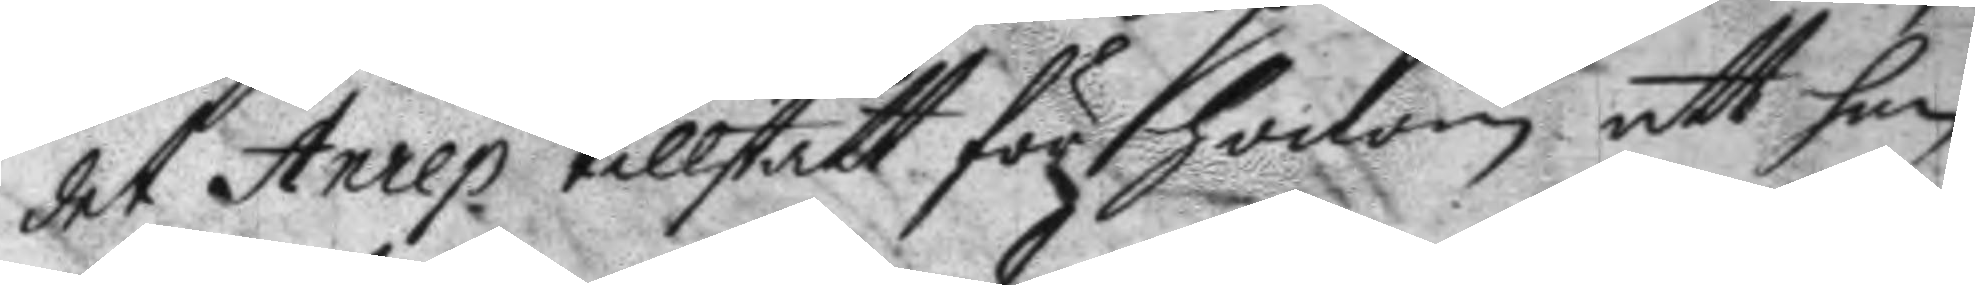det Anrep tillstått för honom att han
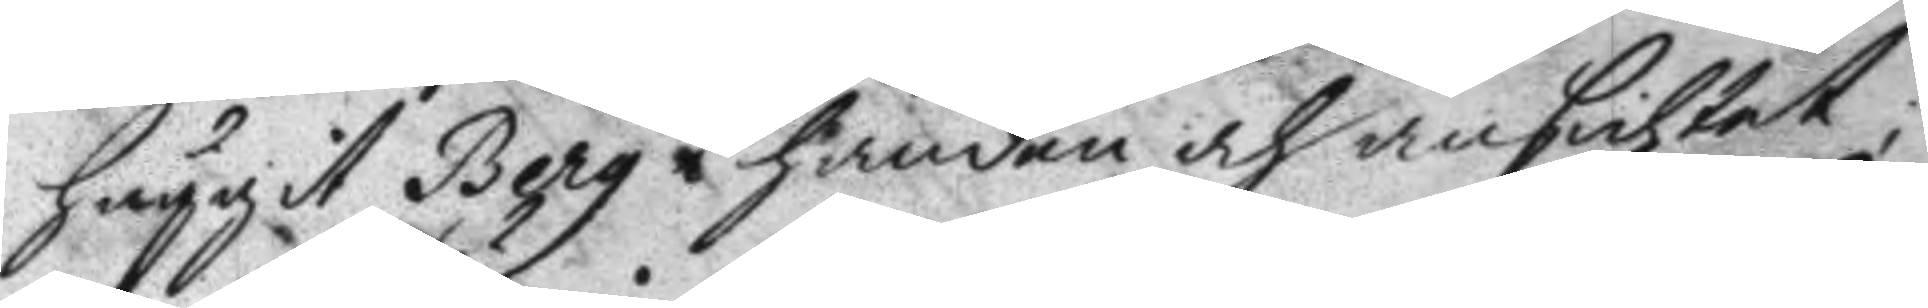huggit Berg i handen och ansichtet;
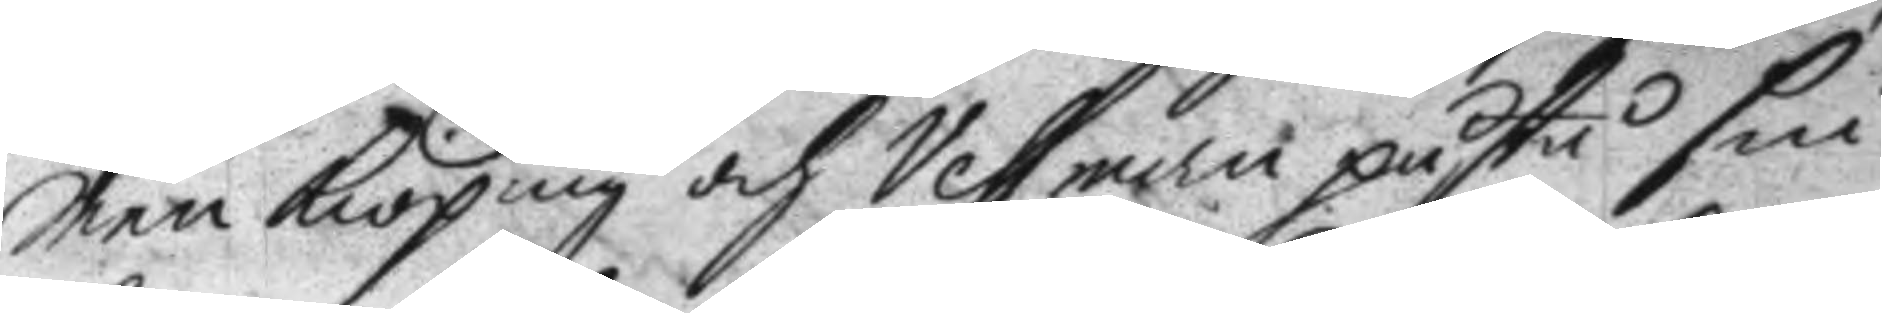men Kiöping och Vessman påstå sin
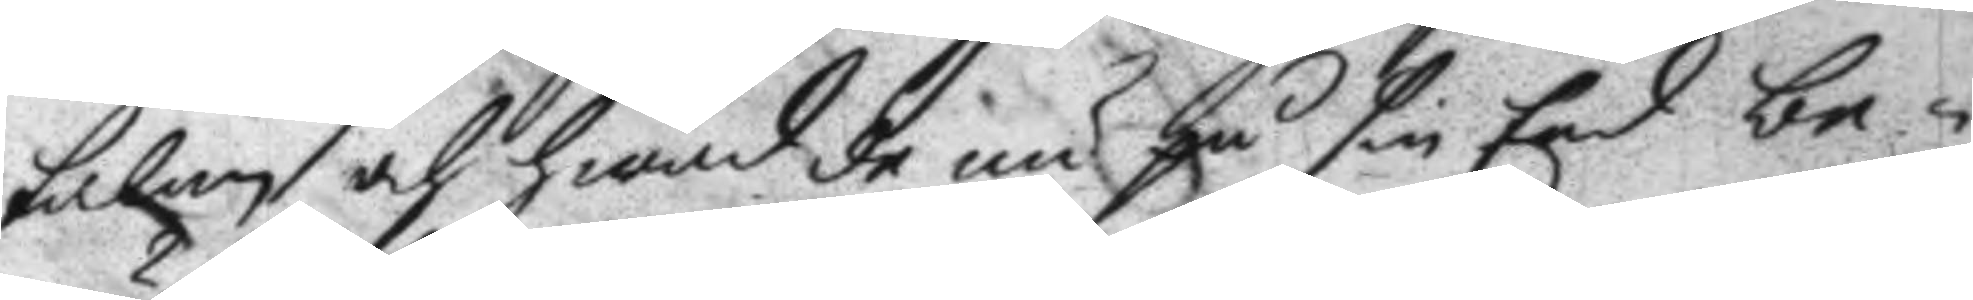talan och hwad de nu på sin Eed be¬
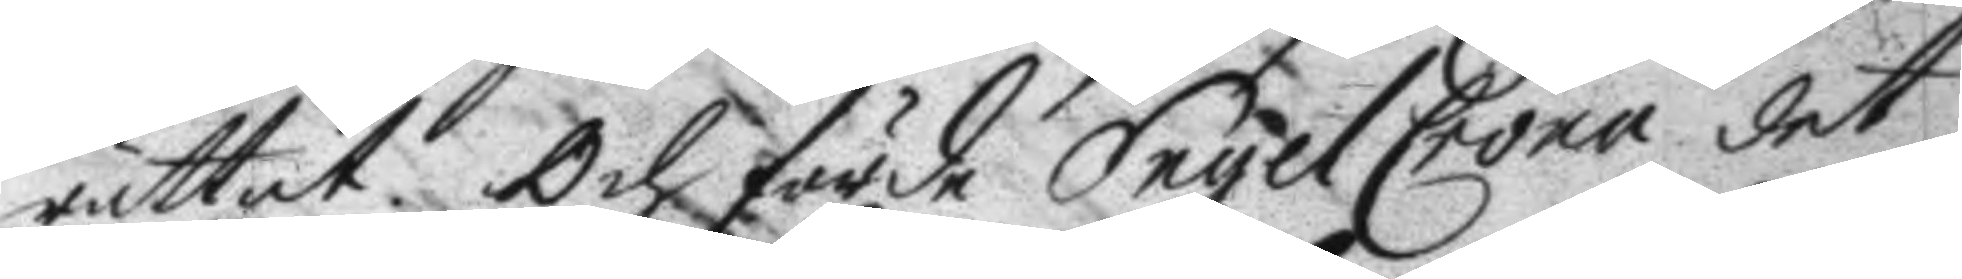rättat. och förde EngelCrona det
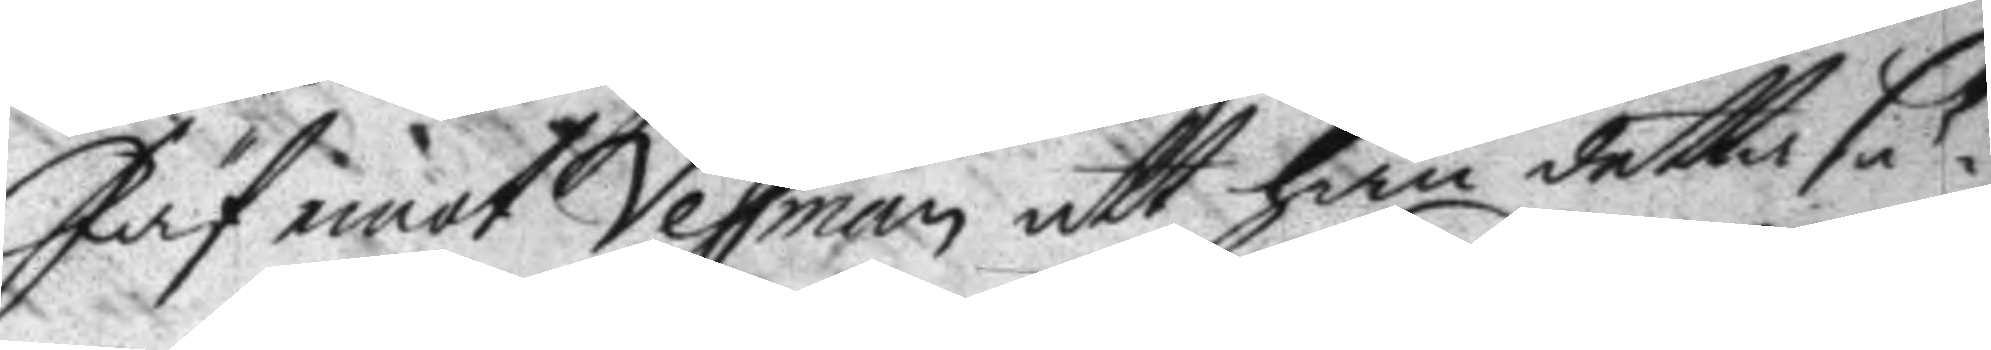Jäf emot Vessman att han detta sä¬
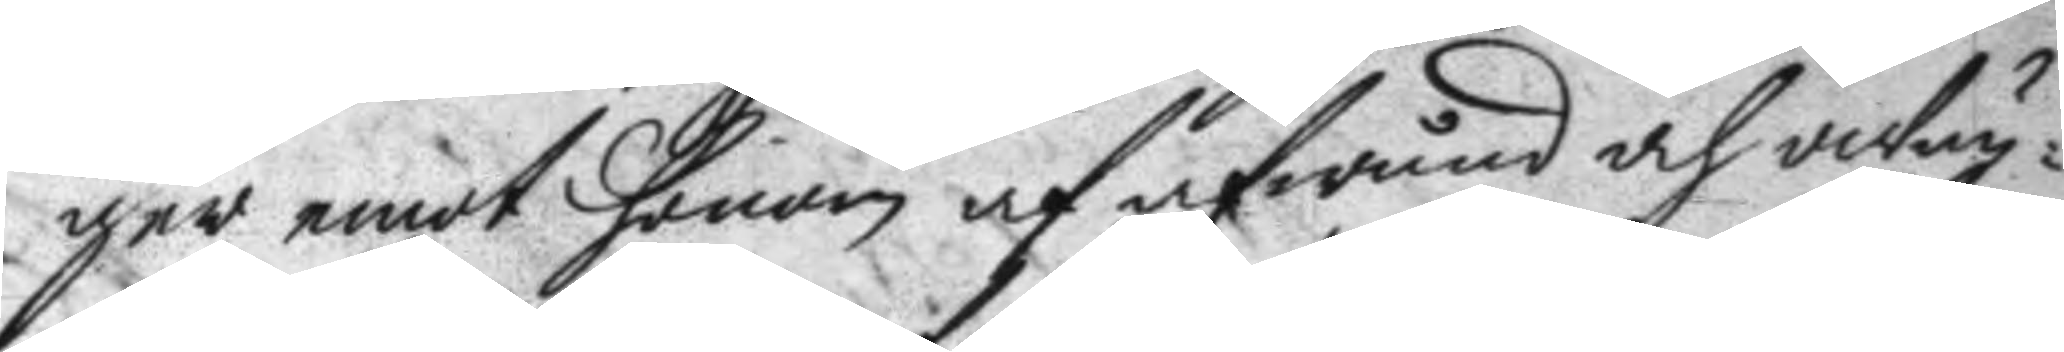ger emot honom af afwund och owän¬
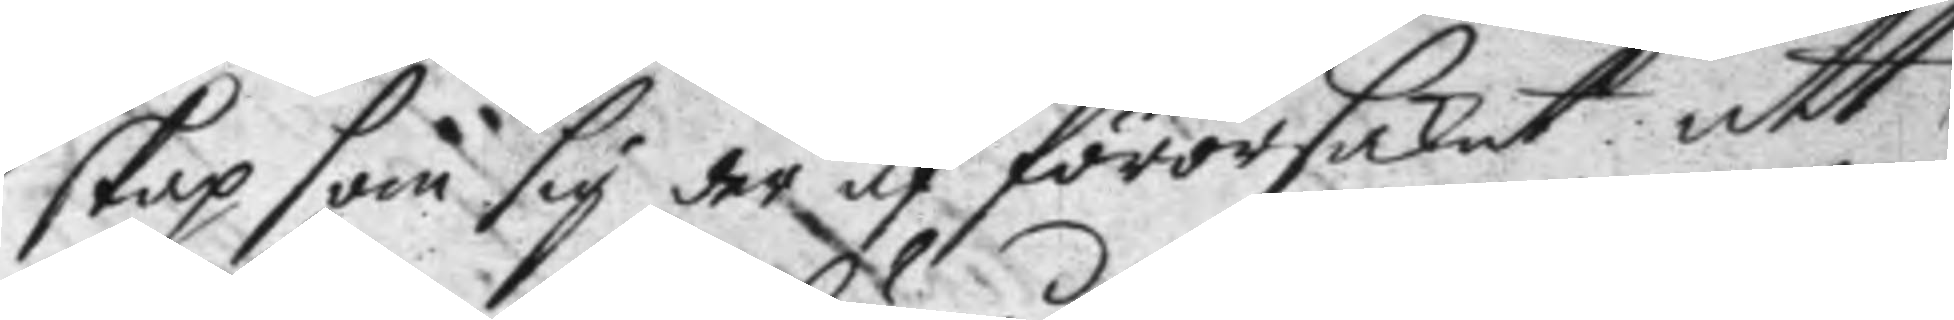skap som sig der af förorsakat att
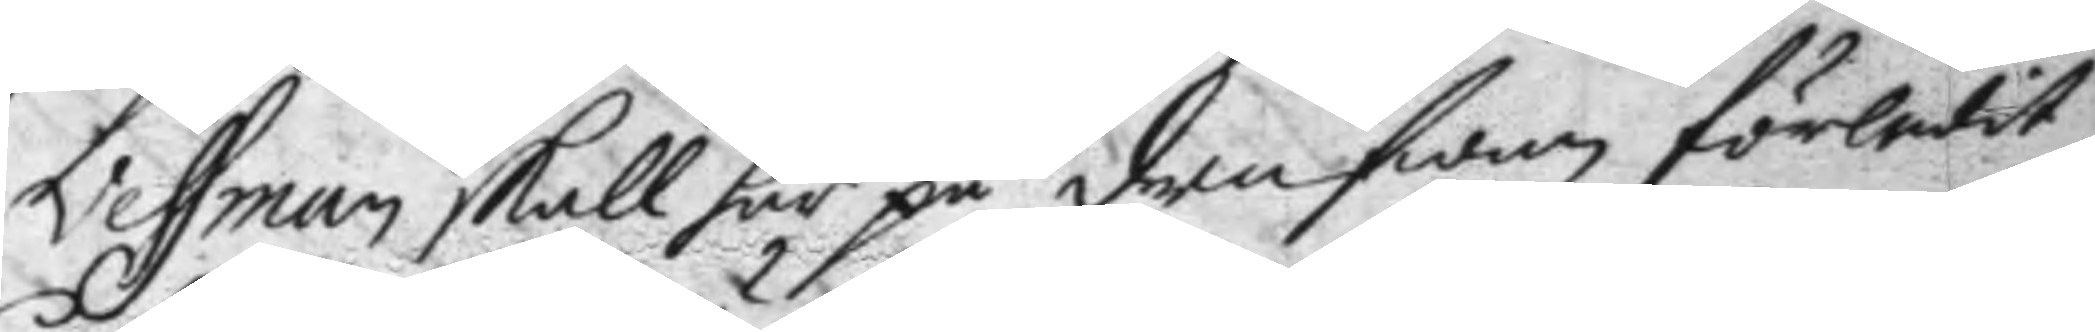Vessman skall här på drufwan förledit
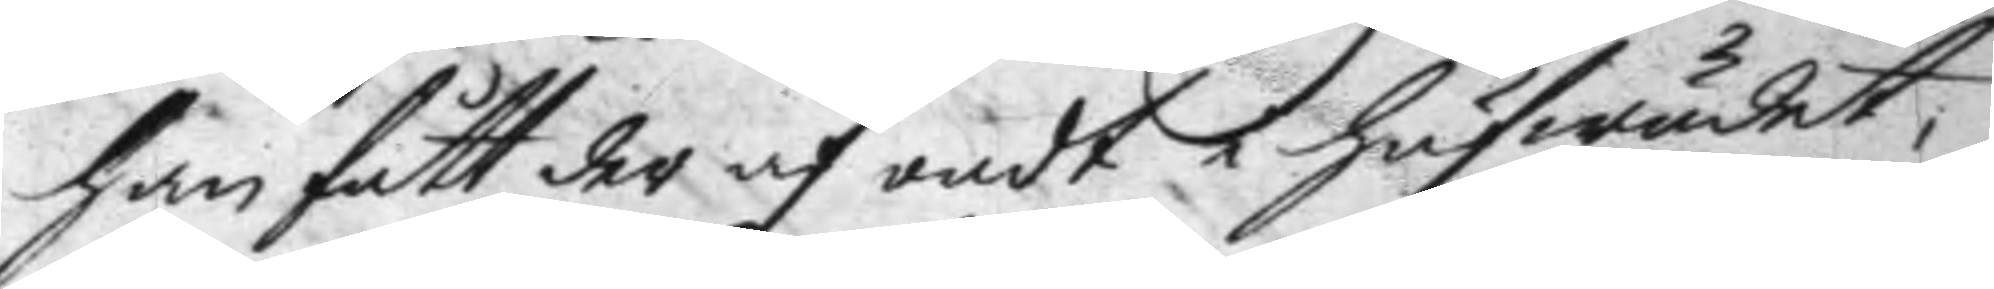han fått der af ondt i hufwudet,
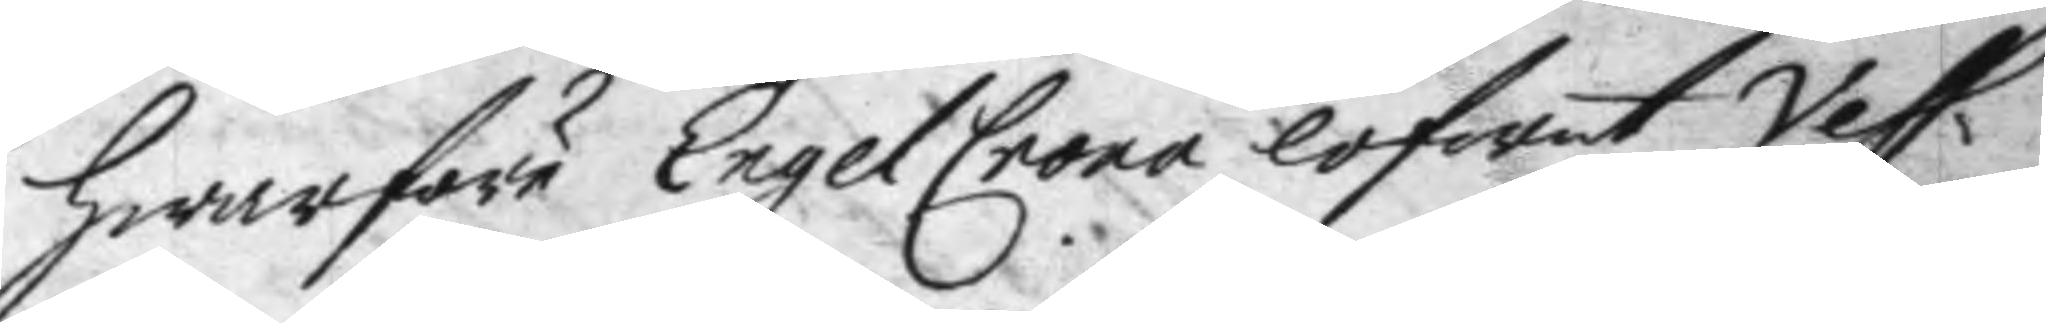hwarföre EngelCrona lofwat Vess¬
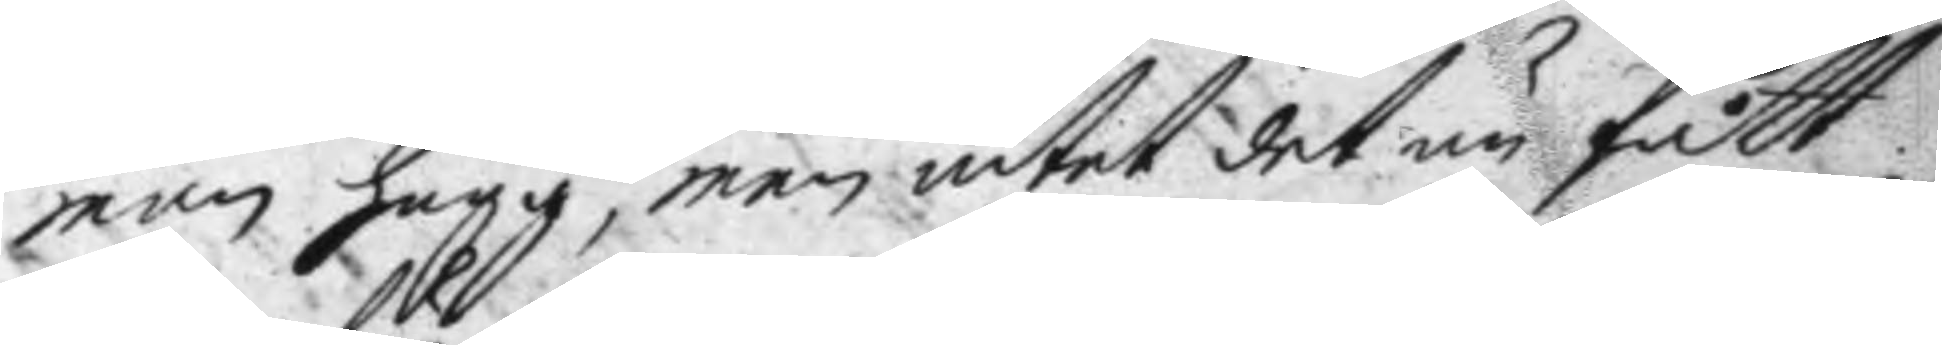man hugg, men intet det än fått
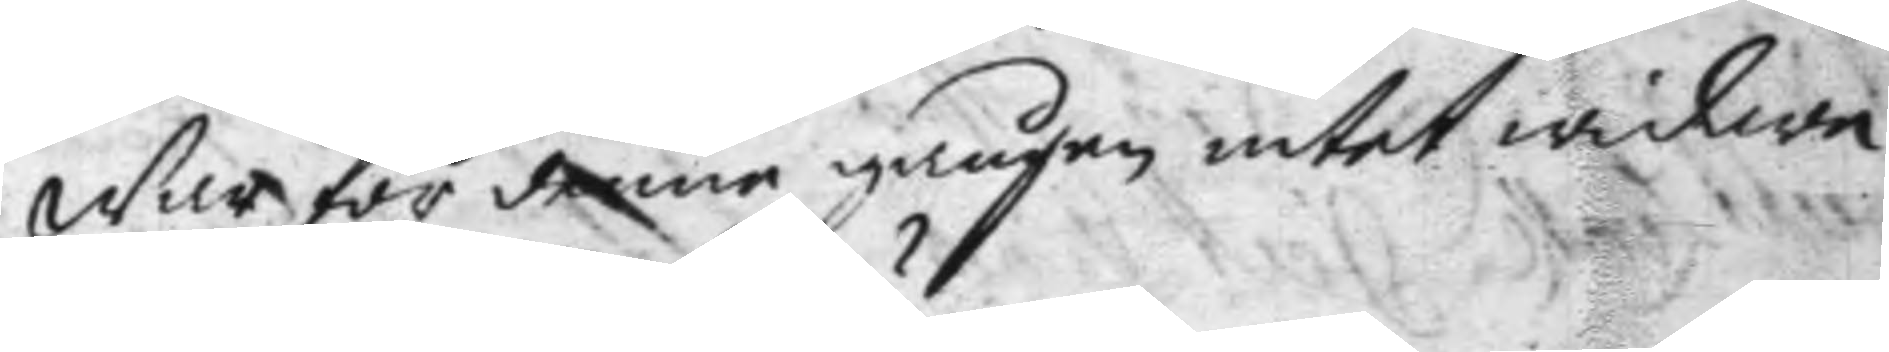warför denne gången intet widare
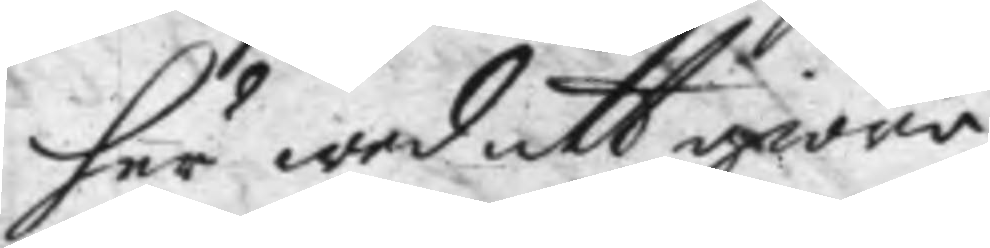här wed att giöra.
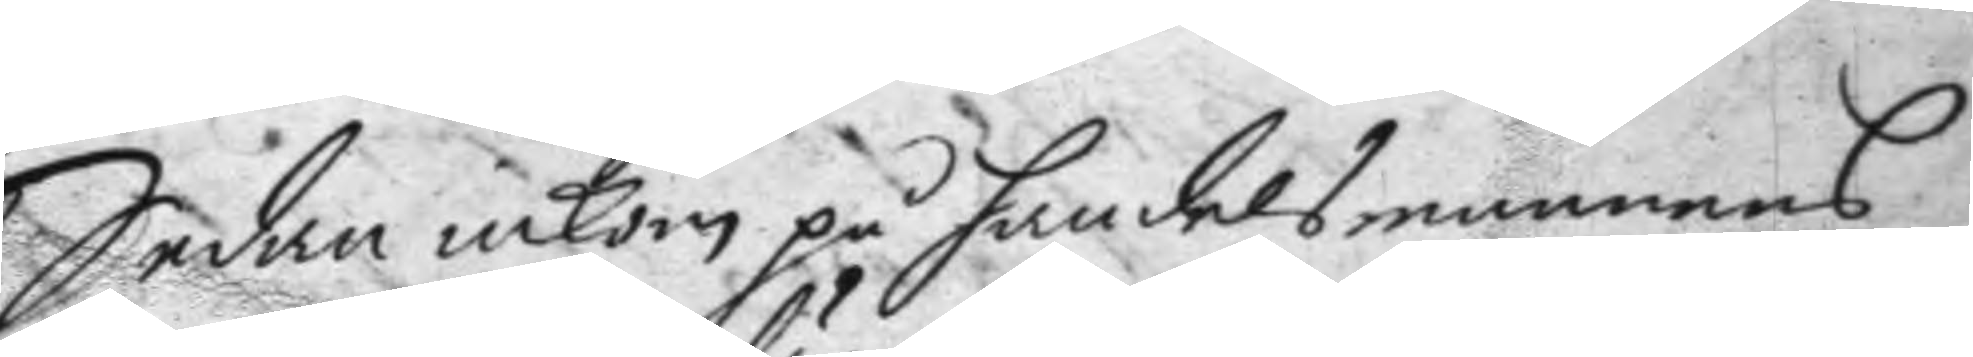sedan inkom på handelsmannens
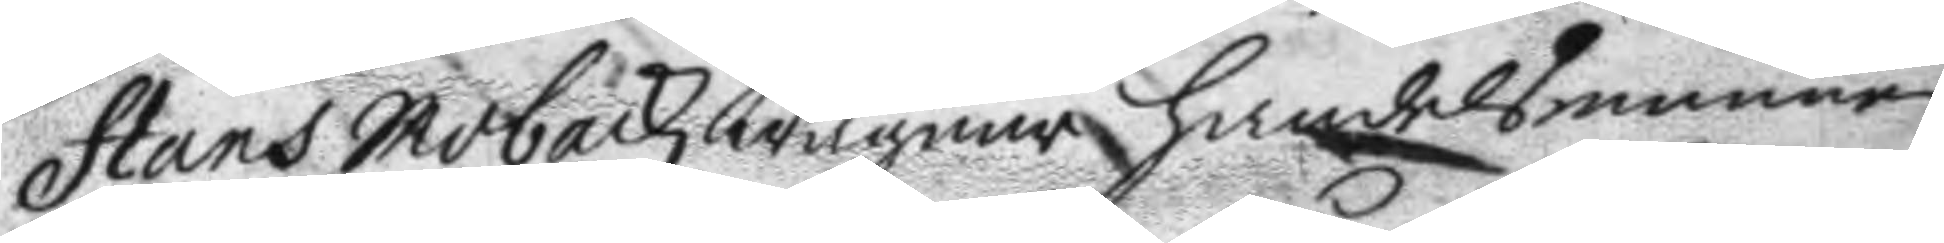Hans Mobackz wägnar handelsmannen
